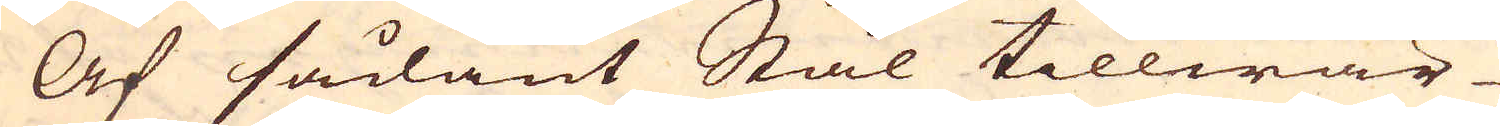Af sådant Stål tillwär-
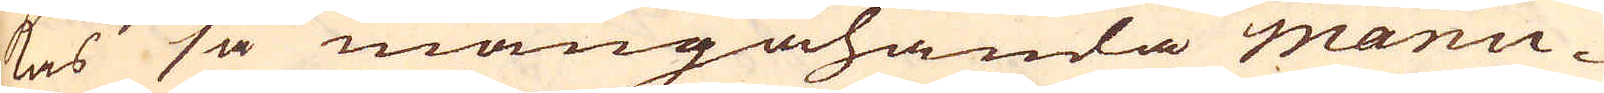kas så mångahanda manu-
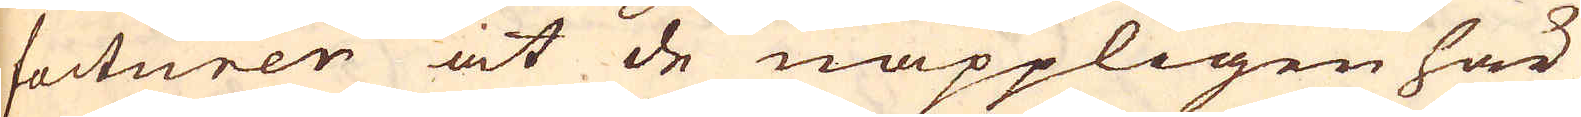facturer at de näppligen här
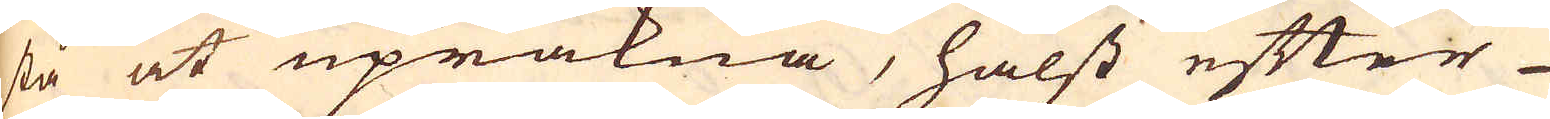stå at upräkna, hälst efter
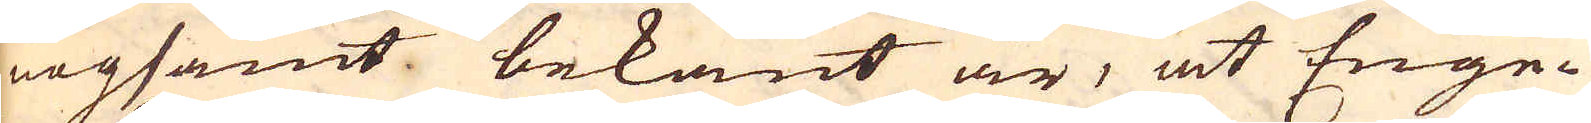nogsamt bekant är, at Enge-
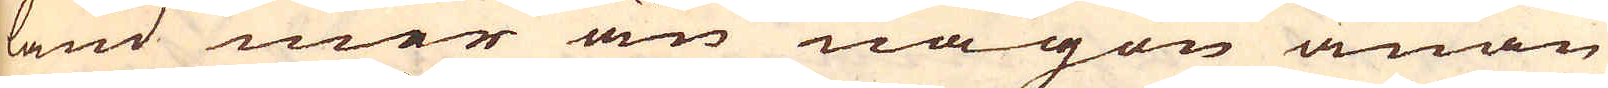land mer än någon anan
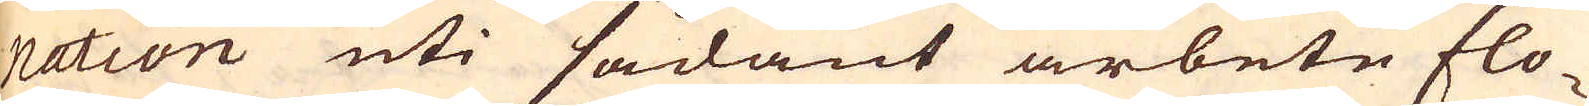nation uti sådant arbete flo-
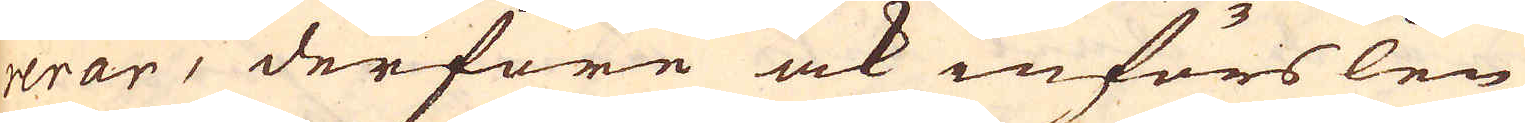rerar, derföre ock införslen
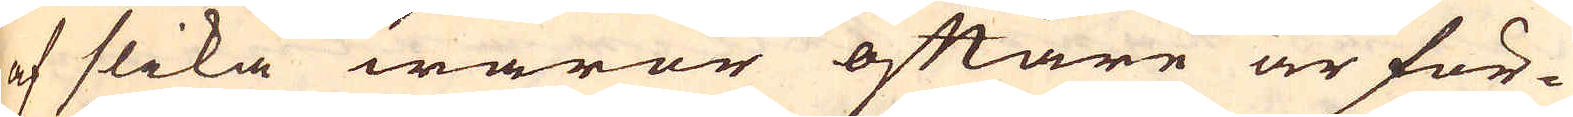af slika waror oftare är för-
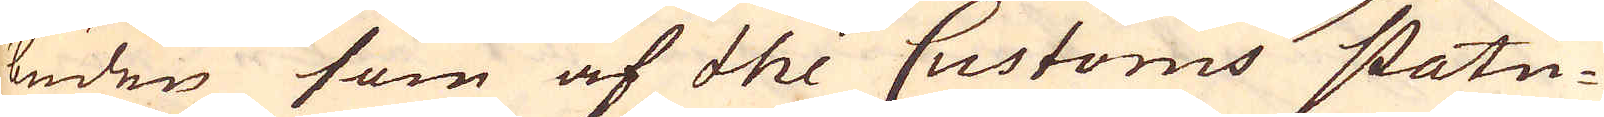buden som af the Customs statu-
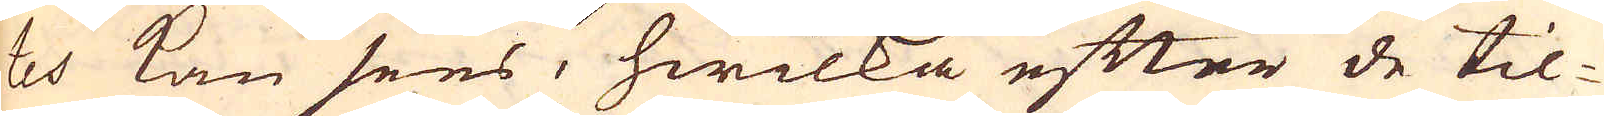tes kan sees, hwilka efter de til-
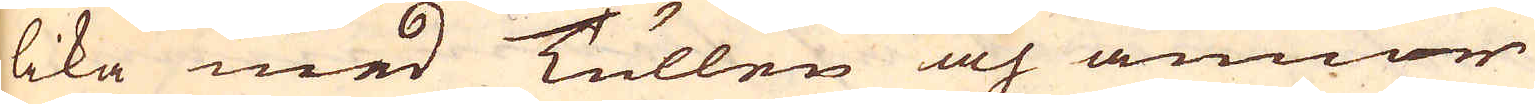lika med Tullen och annor
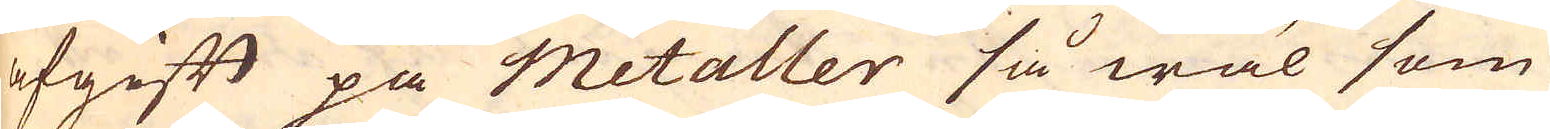afgift på Metaller så wäl som
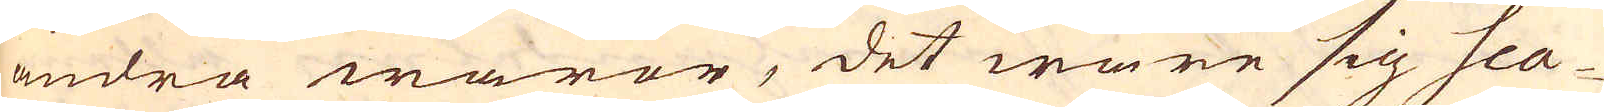andra waror, det ware sig Sca-
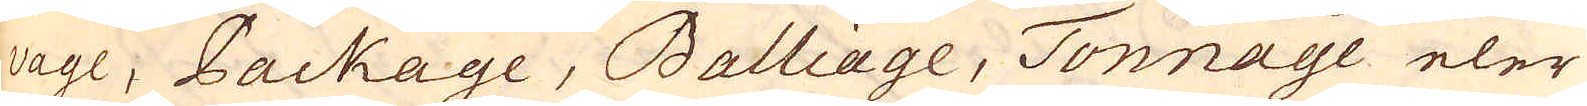vage, Package, Balliage, Tonnage eler
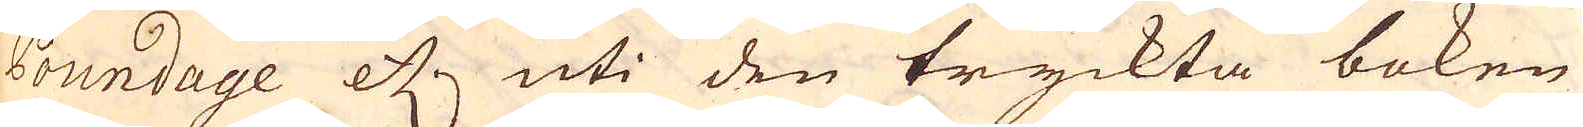Poundage etc. uti den tryckta boken
